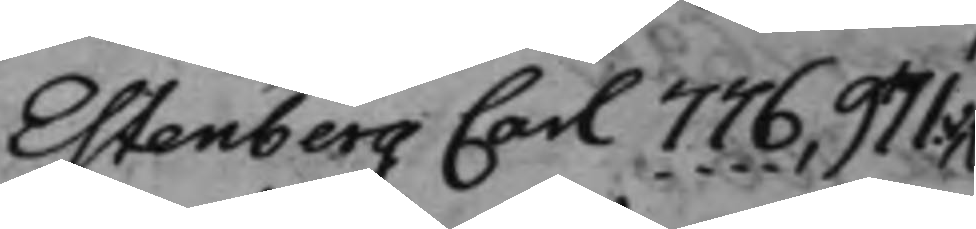Estenberg Carl 776, 971.v,
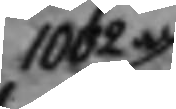1002v
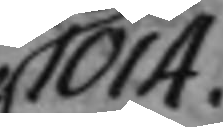1014.
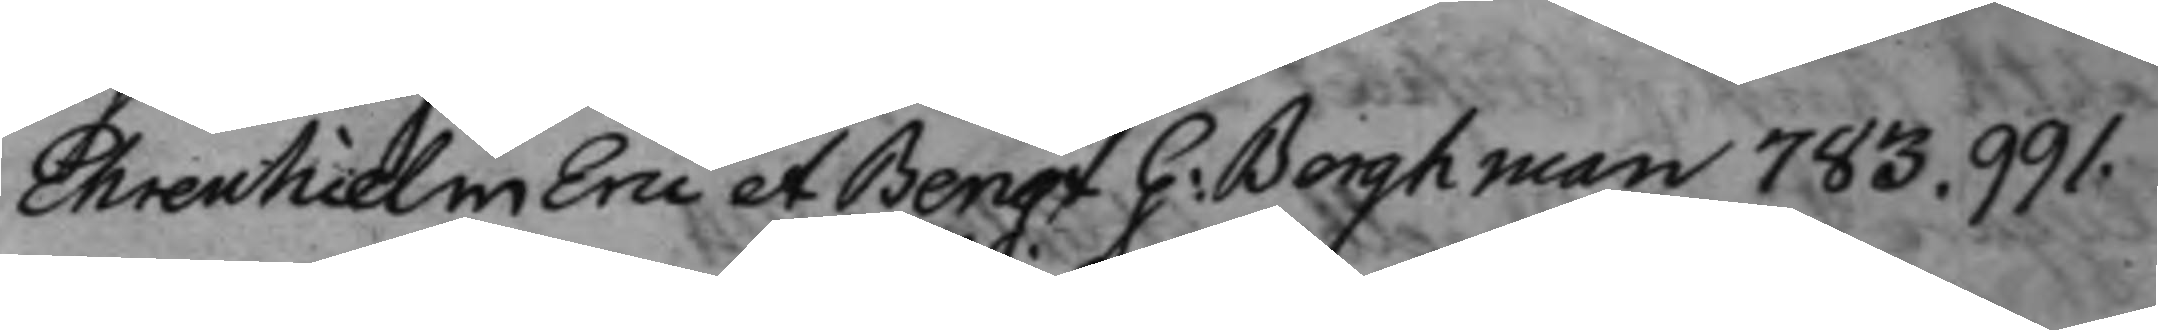Ehrenhielm Eric et Bengt G: Berghman 783. 991.
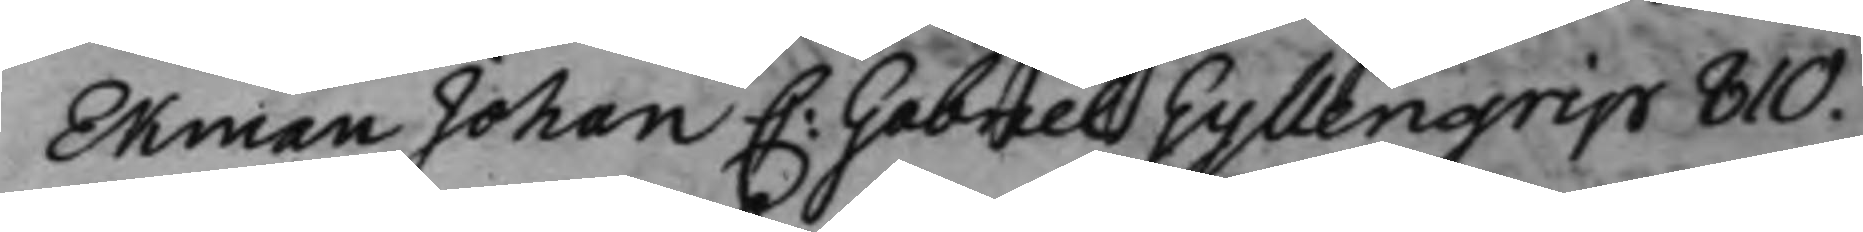Ekman Johan C: Gabriel Gyllengrip 810.
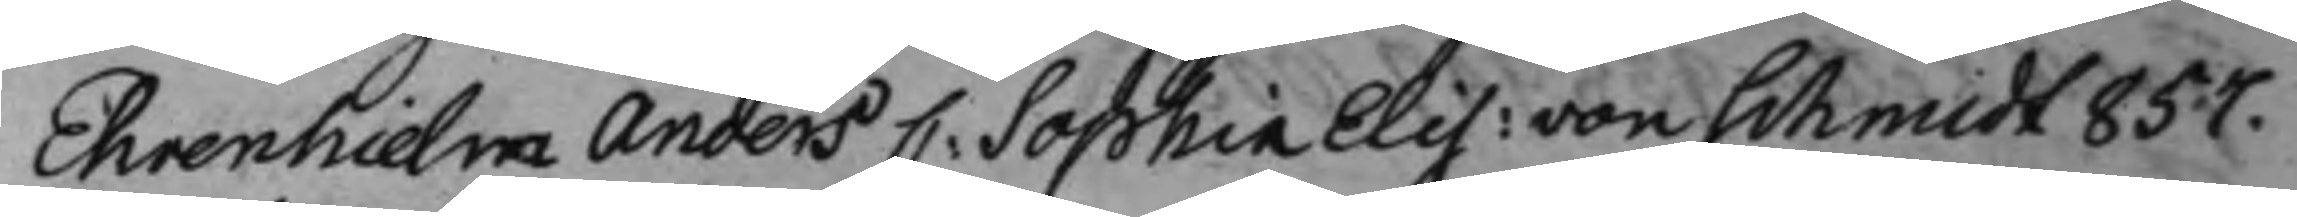Ehrenhielm Anders C: Sophia Elis: von Schmidt 857.
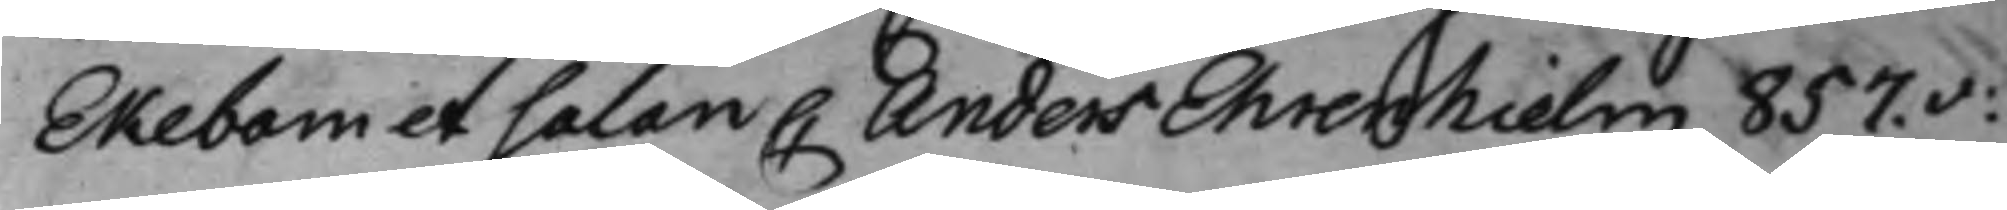Ekebom et Salan C Anders Ehrenhielm 857.v:
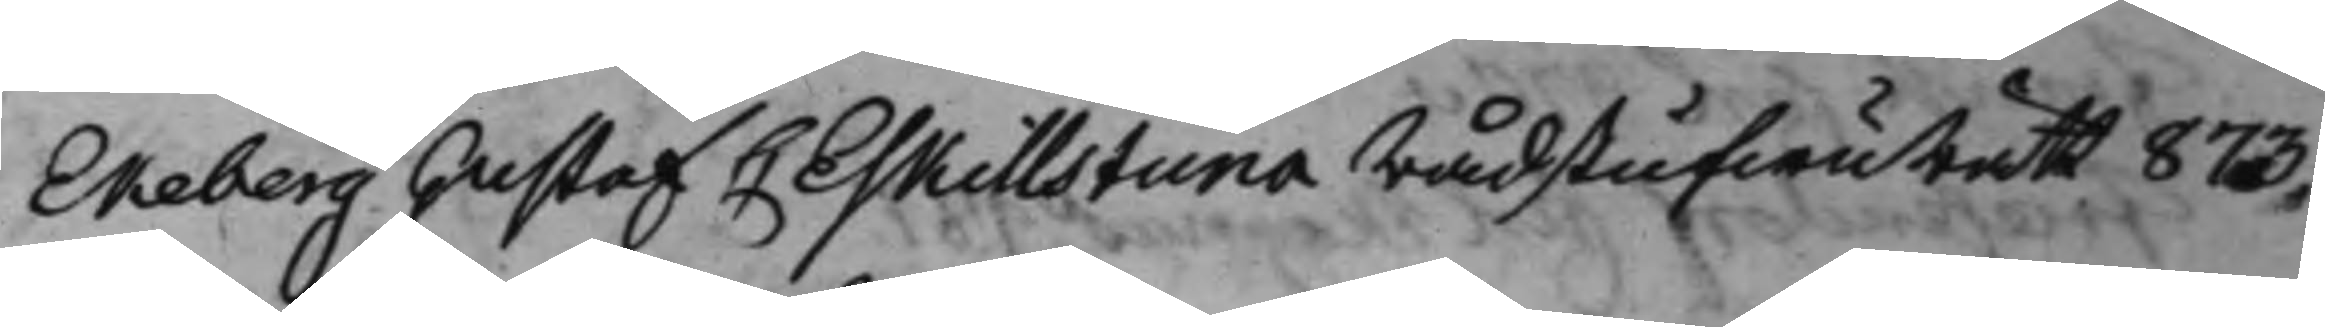Ekeberg Gustaf C Eskillstuna RådstufwuRätt 873.
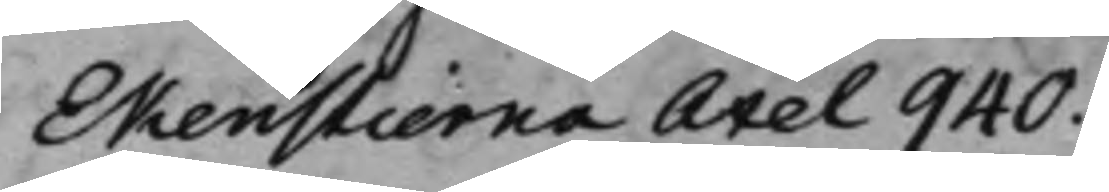Ekenstierna Axel 940.
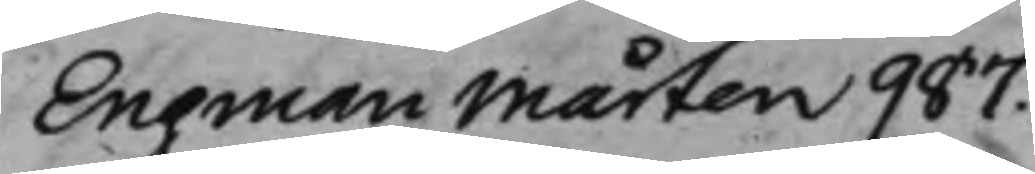Engman Mårten 987.
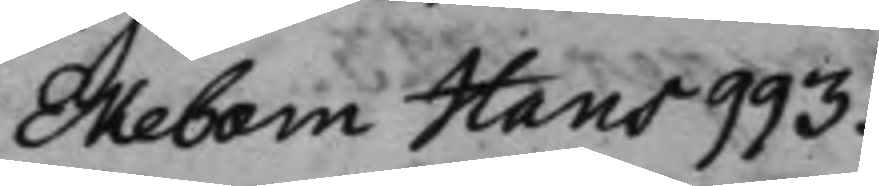Ekebom Hans 993.
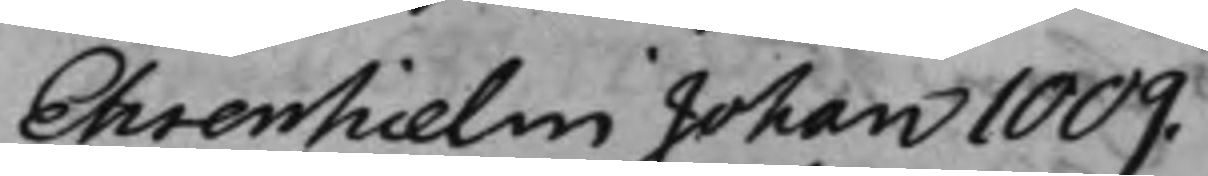Ehrenhielm Johan 1009.
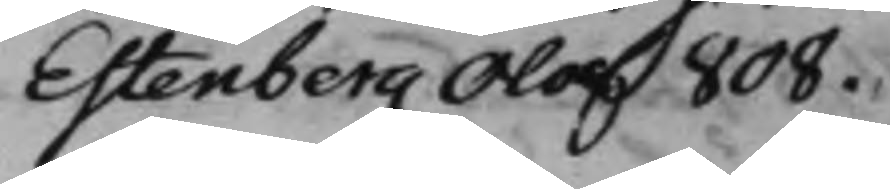Estenberg Olof 808.
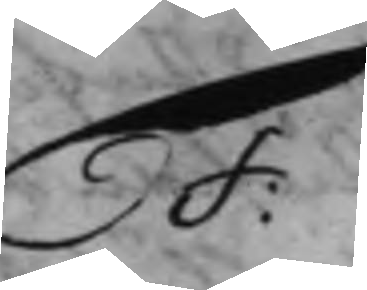F:
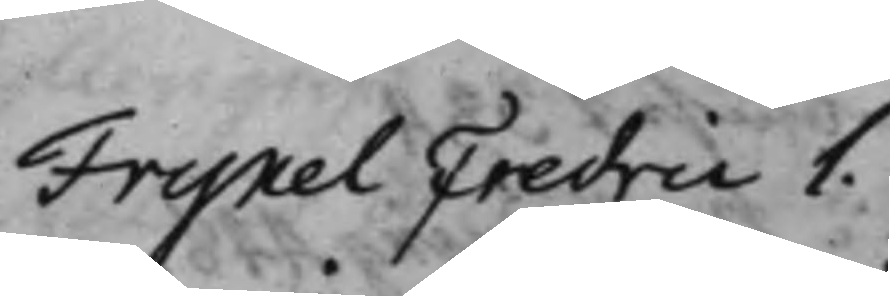Fryxel Fredric 1.
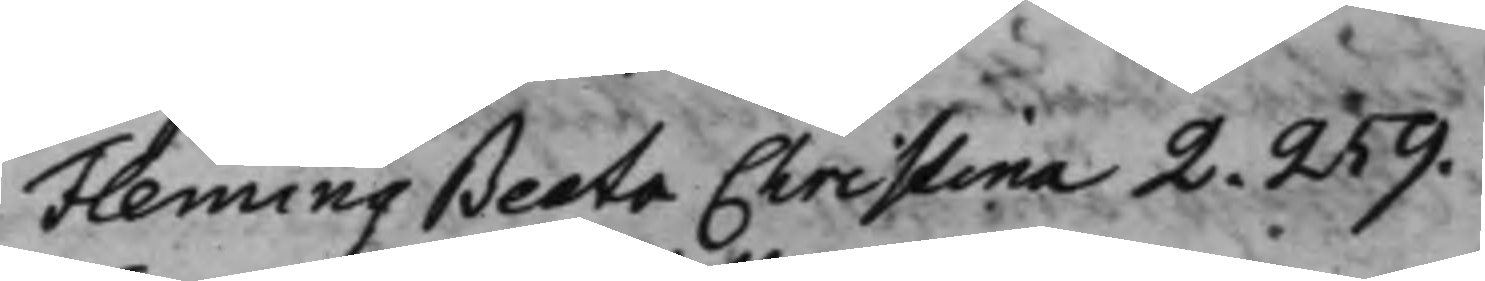Fleming Beata Christina 2. 259.
